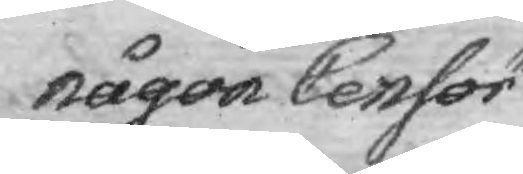någon Censor
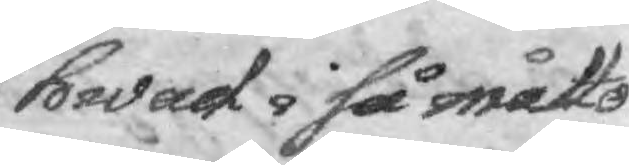hwad i så måtto
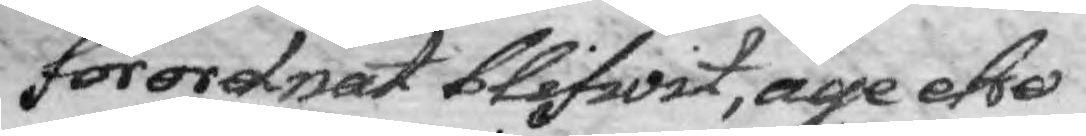förordnat blifwit, äge eho
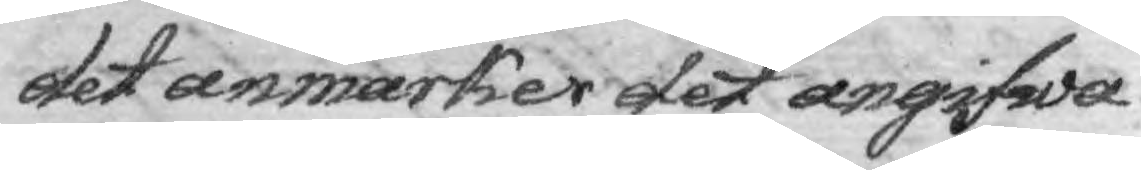det anmäker det angifwa
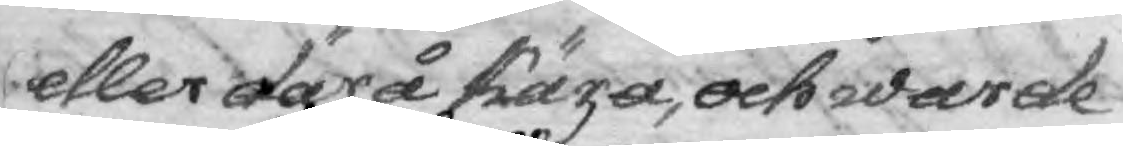eller därå kära och warde
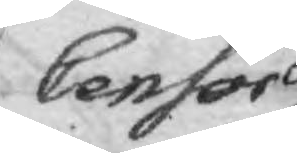Censor
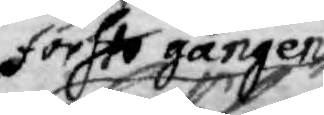förste gången
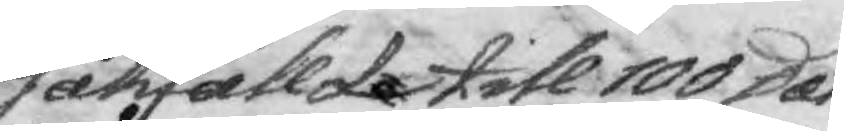sakfällde till 100 Dal.
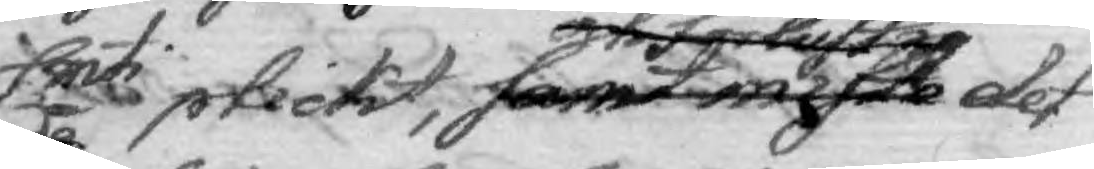Smti plickt, samt måste och förlustig det
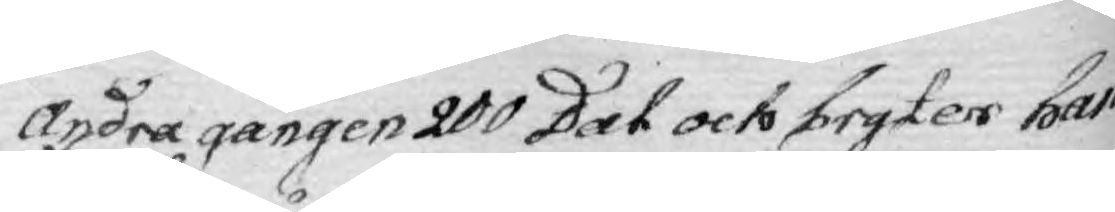andra gången 200 Dal och bryter han
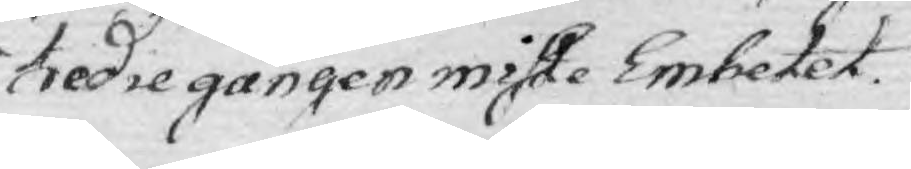tredie gången miste Embetet.
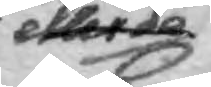eller de
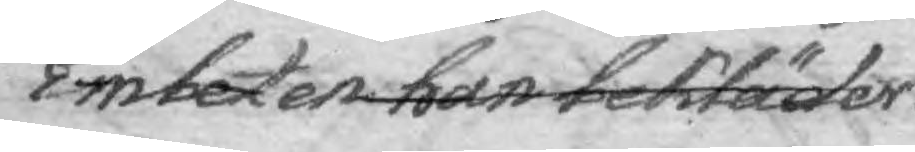Embeten han bekläder.
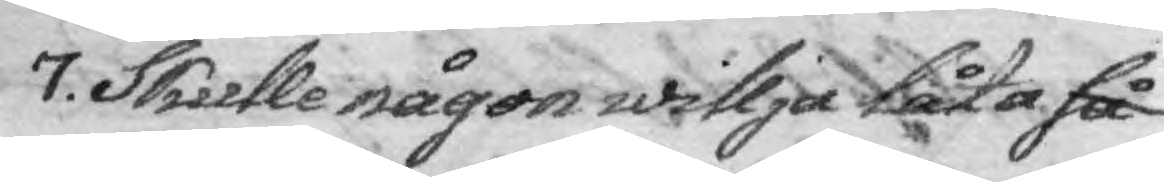7. Skulle någon willja låta så
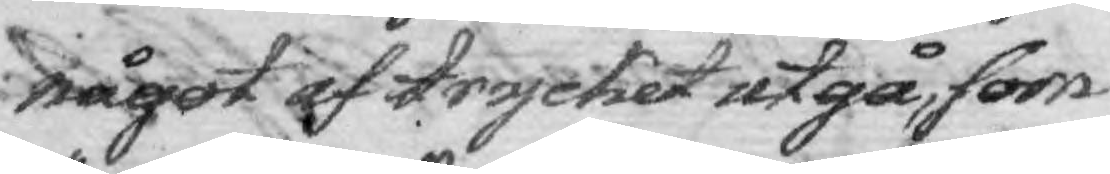något af trycket utgå, som
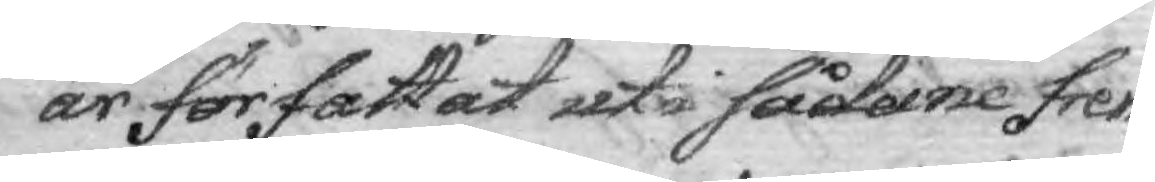är författat uti sådane frem¬
